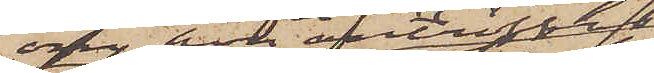om hon anträffas,
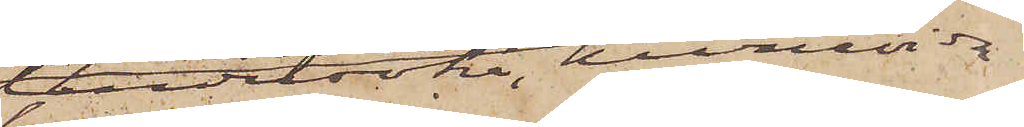undersöka, huruvida
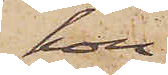hon
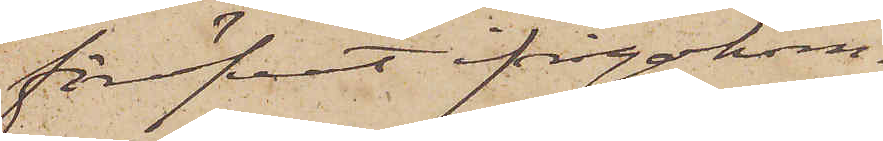föröfvat ifrågakom¬
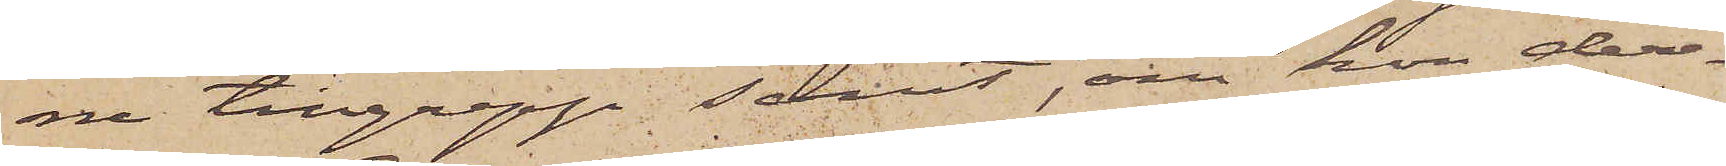ne tillgrepp; samt, om hon der¬
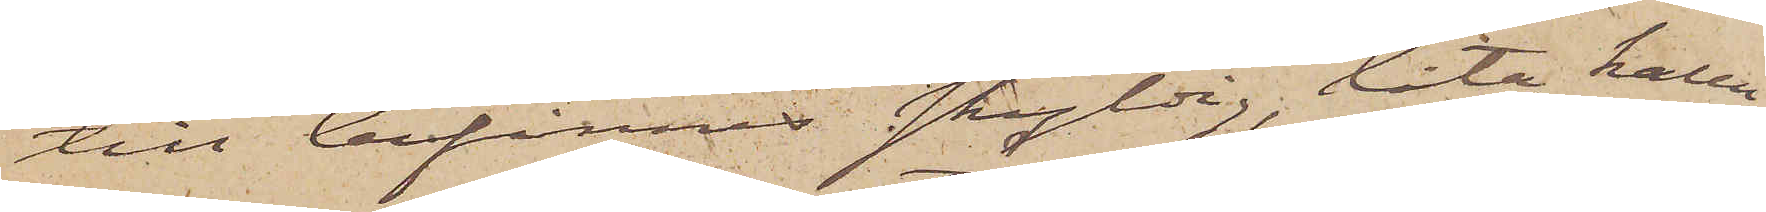till befinnes skyldig, låta kalla
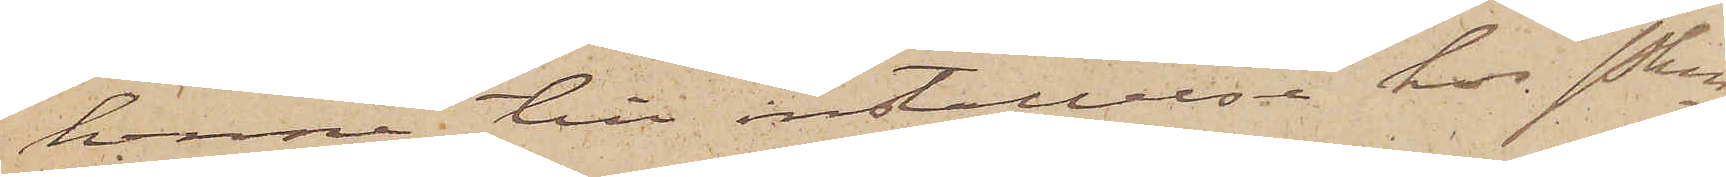henne till inställelse hos Pkn
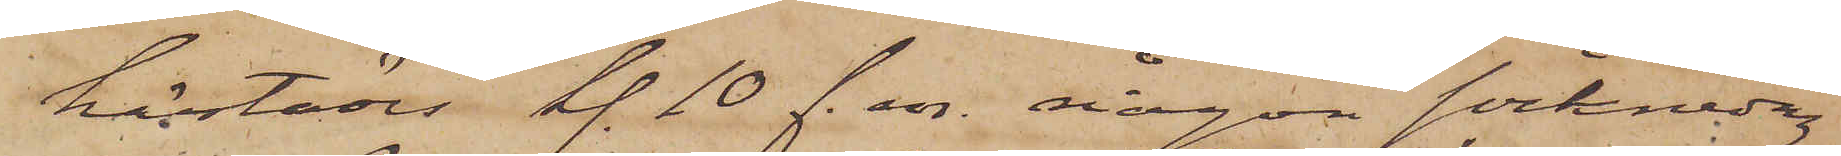härstädes kl. 10 f. m. någon söcknedag
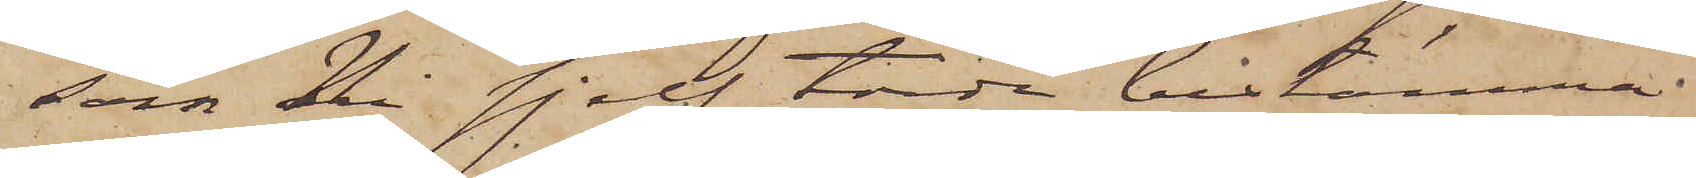som Ni sjelf torde bestämma
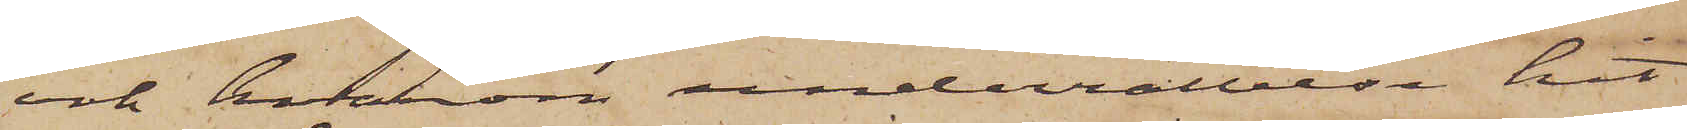och hvarom underrättelse hit
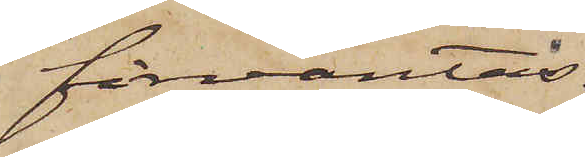förväntas.
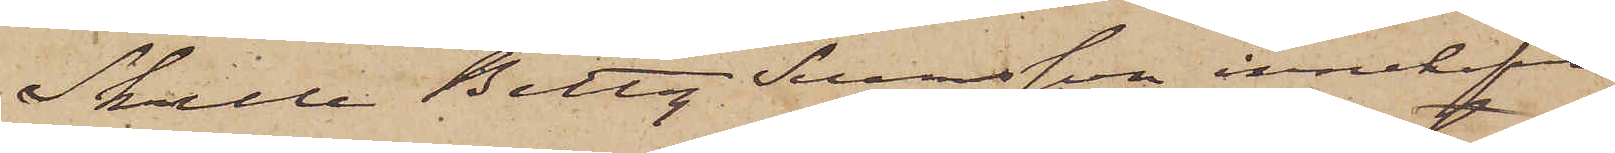Skulle Betty Svensson innehafva
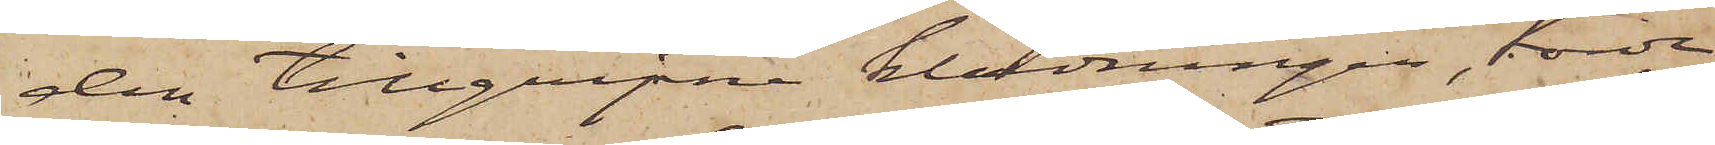den tillgripne klädningen, torde
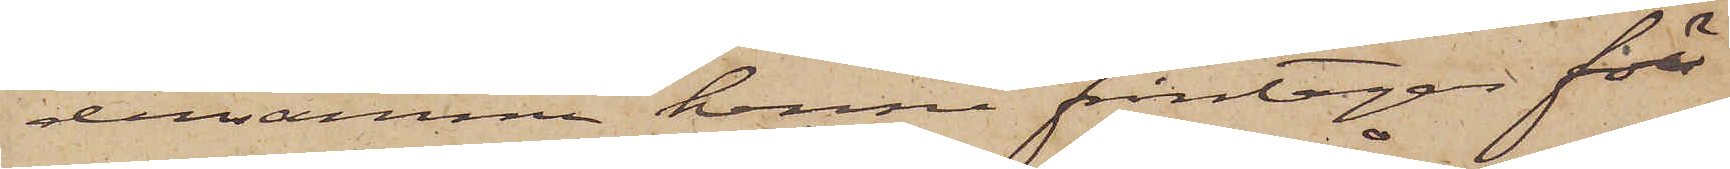densamma henne fråntagas för
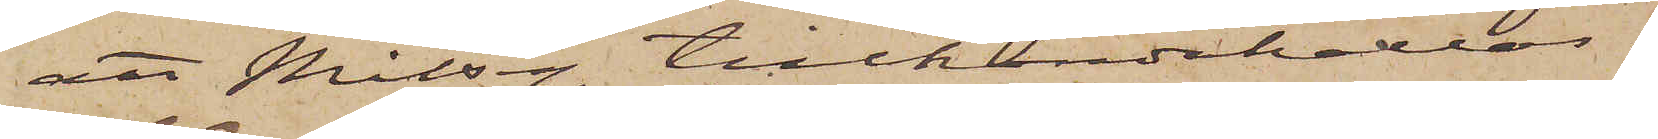att Målsg tillhandahållas.
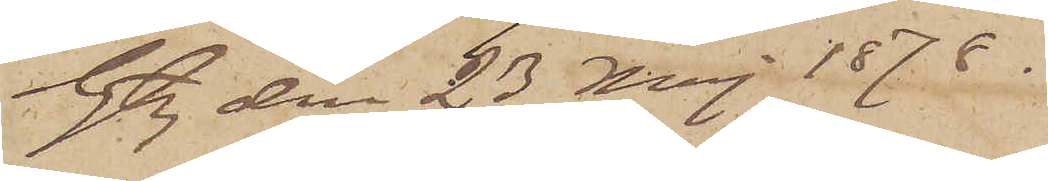Gtbg den 23 Maj 1878.
